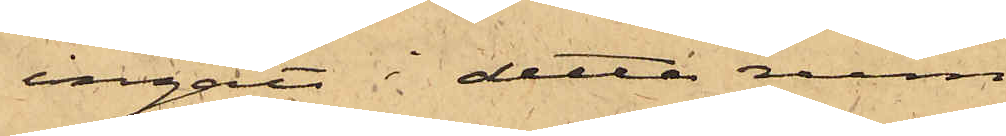ingått i detta rum
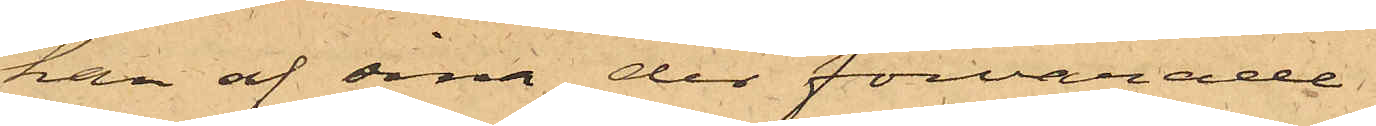han af sina der förvarade
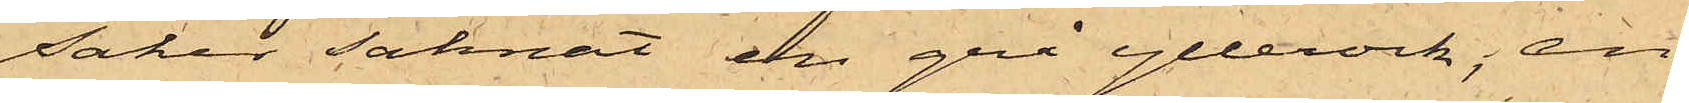saker saknat en grå yllerock, en
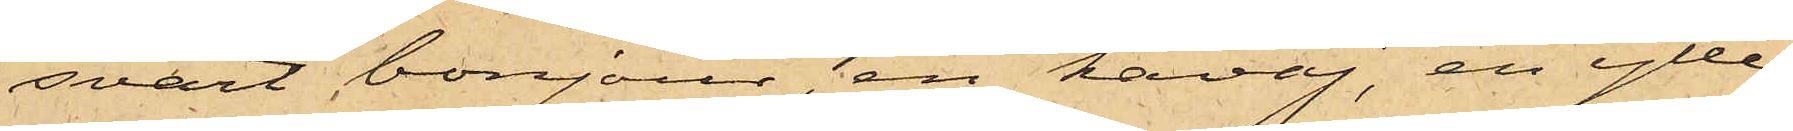svart bonjour, en kavaj, en ylle¬
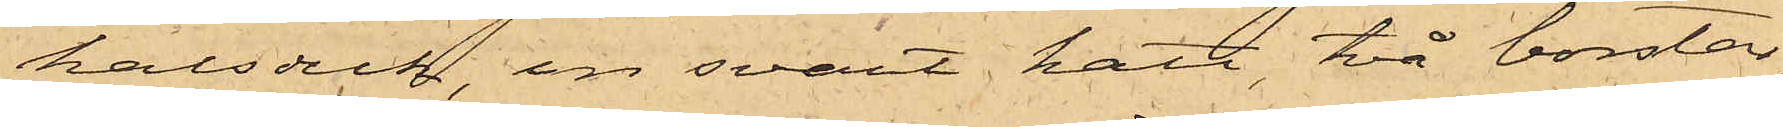halsduk, en svart hatt, två borstar,
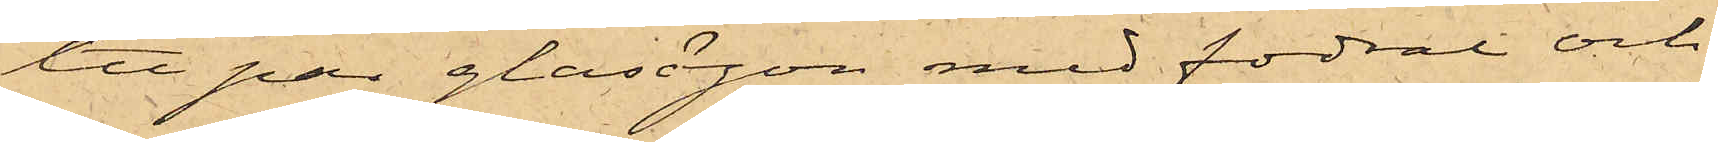ett par glasögon med fodral och
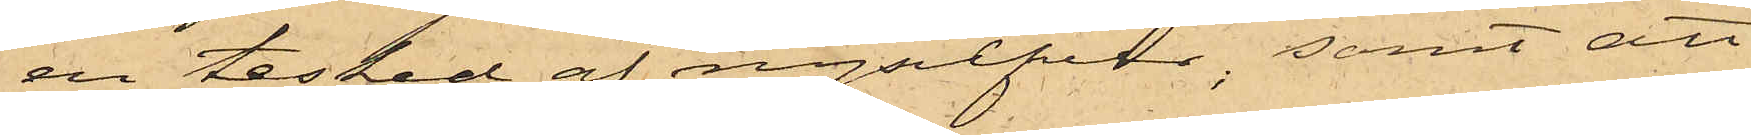en tesked af nysilfver; samt att
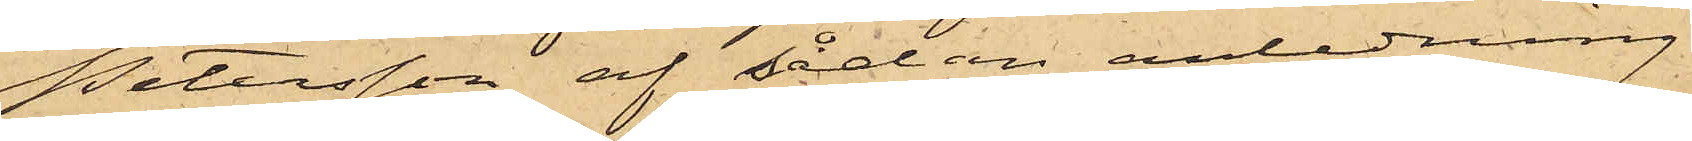Petersson af sedan anledning
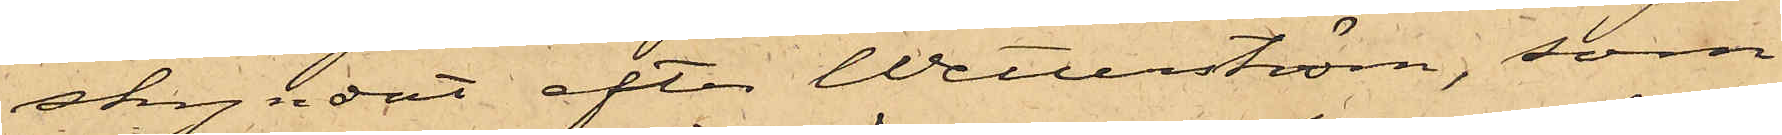skyndat efter Wetterström, som
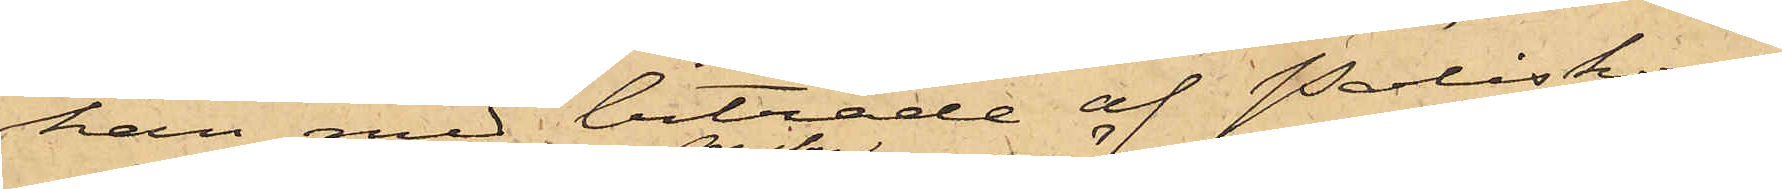han med biträde af Poliskon¬
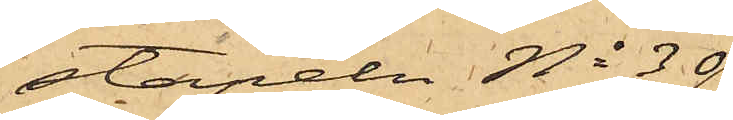stapeln No 30
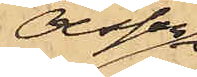Olsson
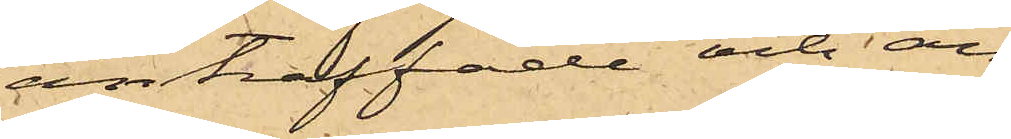anträffade och an¬
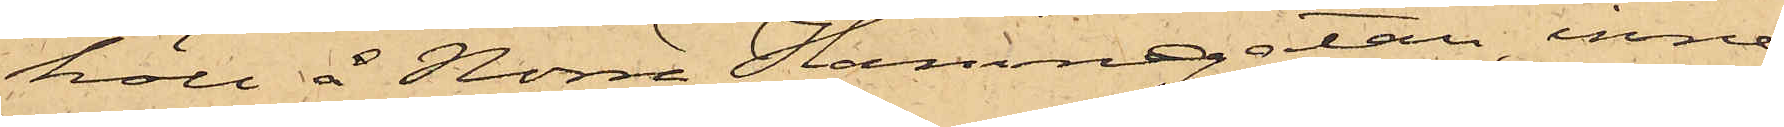höll å Norra Hamngatan, inne¬
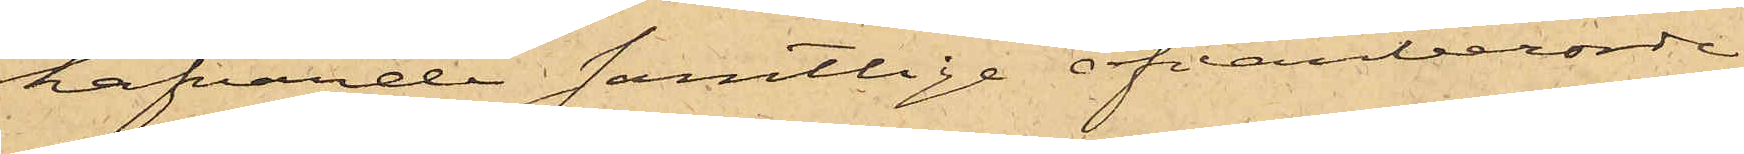hafvande samtlige ofvanberörde
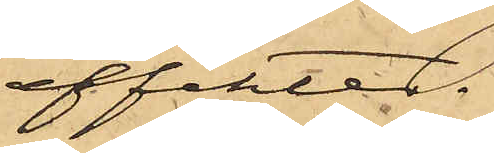effekter.
